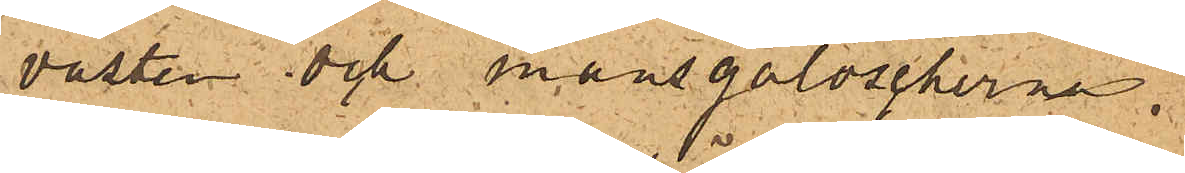västen och mansgaloscherna;
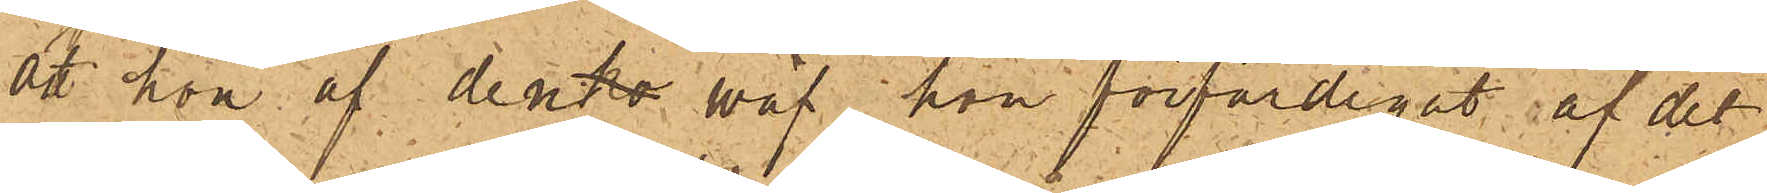att hon af den väf hon förfärdigat af det
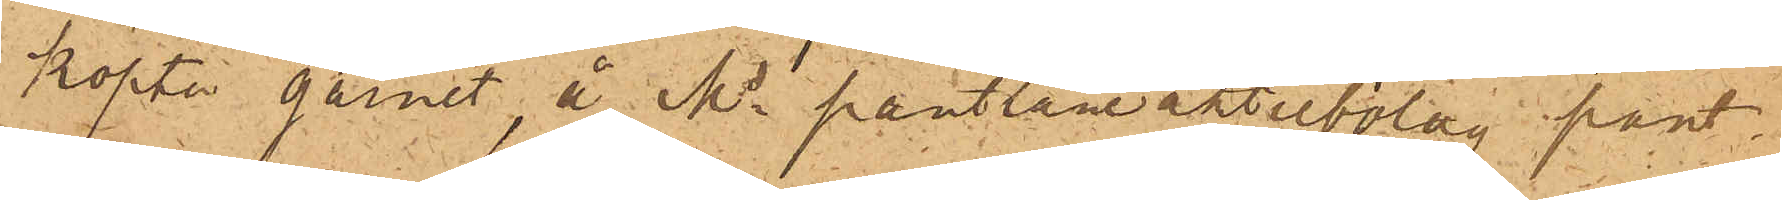köpta garnet, å Ms pantlåneaktiebolag pant¬
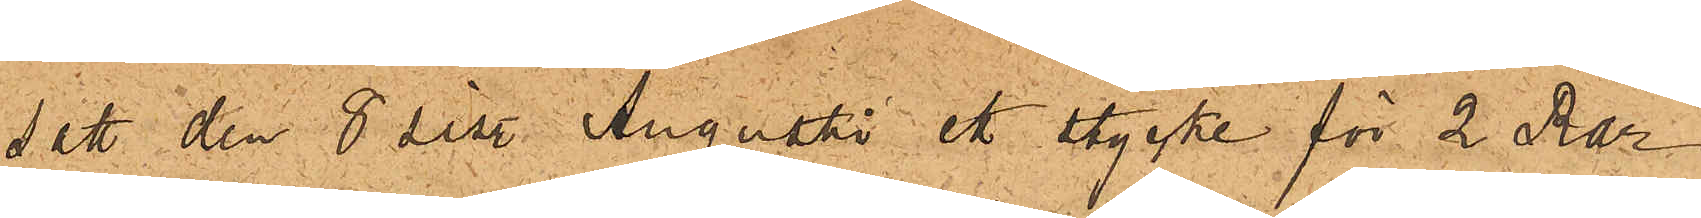satt den 8 sist. Augusti ett stycke för 2 Rdr
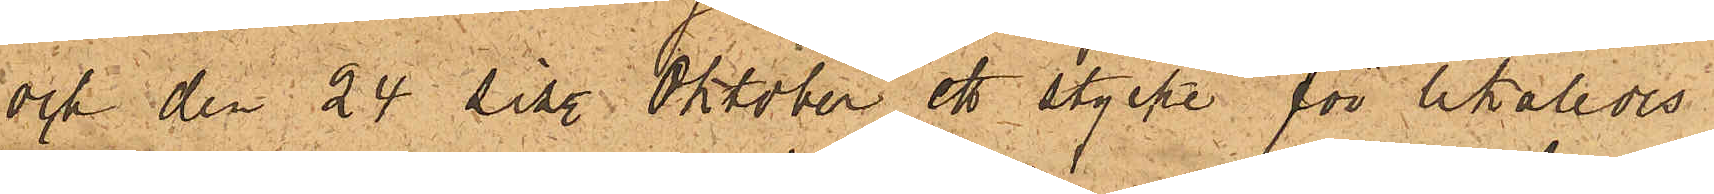och den 24 sist. Oktober ett stycke för likaledes
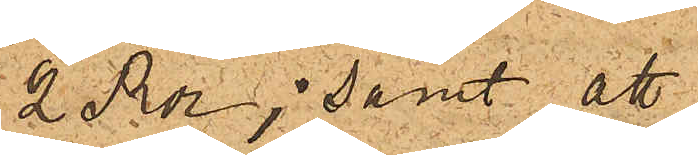2 Rdr; samt att,
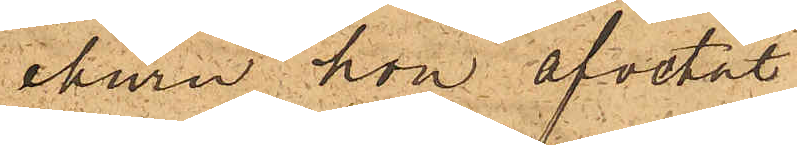ehuru hon afvetat
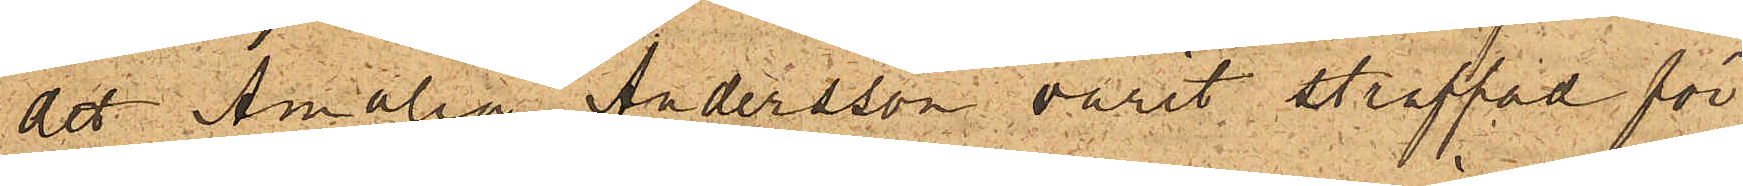det Amalia Andersson varit straffad för
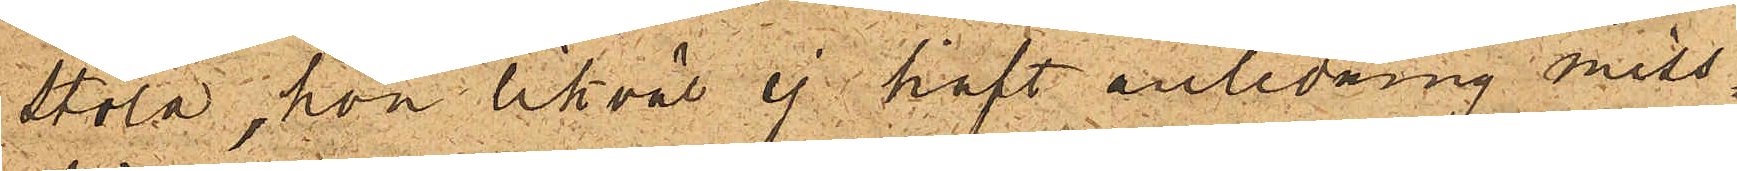stöld, hon likväl ej haft anledning miss¬
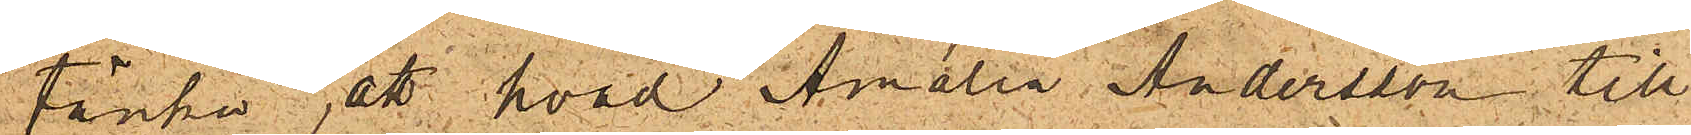tänka, att hvad Amalia Andersson till
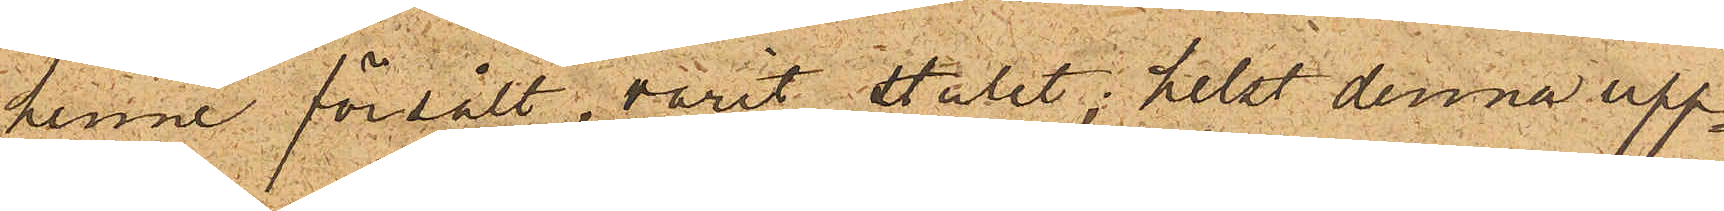henne försålt, varit stulet; helst denna upp¬
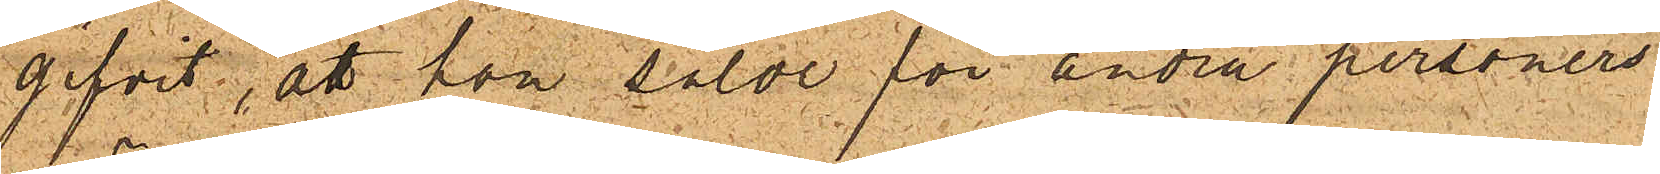gifvit, att hon sålde för andra personers
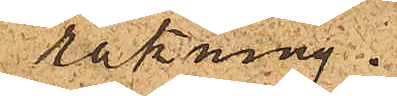räkning.
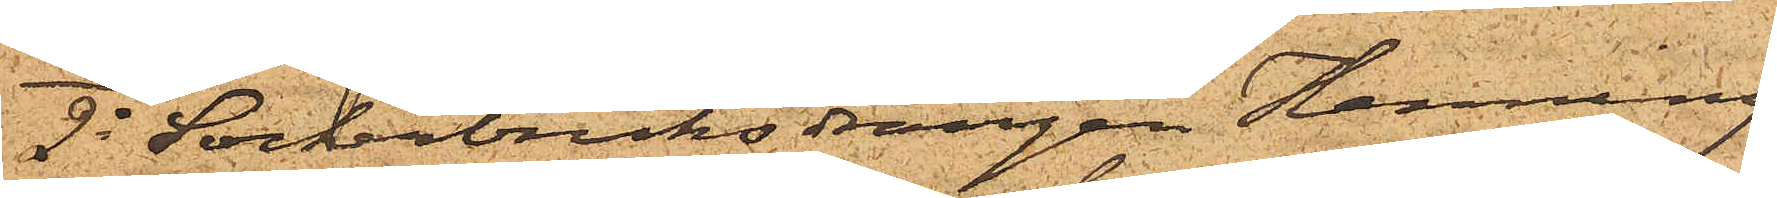2o Sockerbruksdrängen Henning
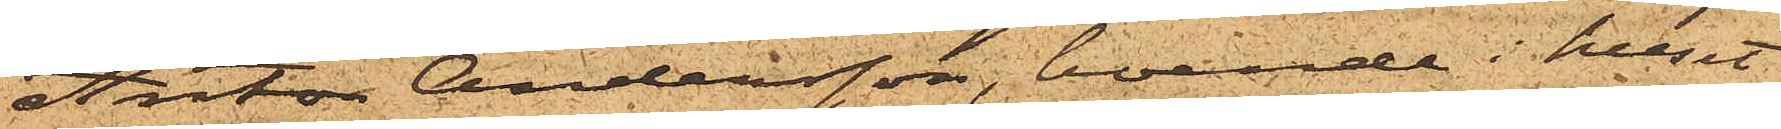Anton Andersson, boende i huset
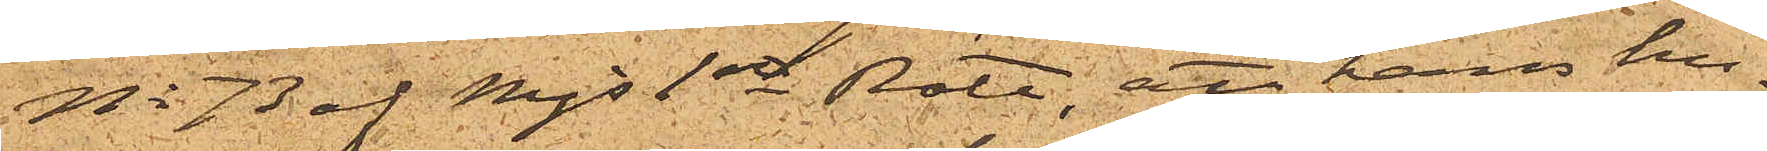No 73 af Mjs 1ste Rote, att hans hu¬
